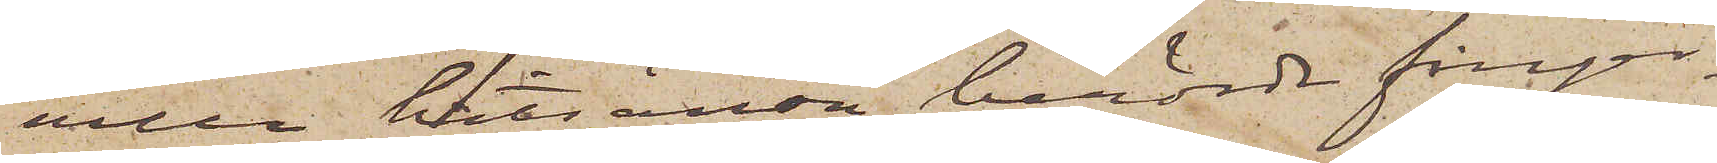ville hitsända berörde finger¬
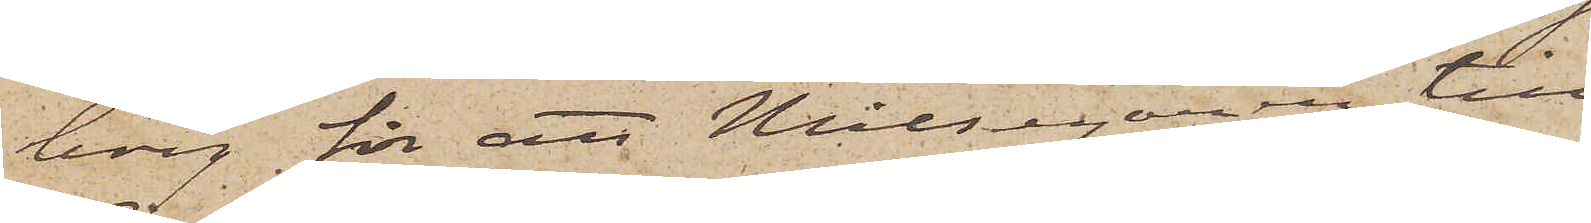borg för att Målsegaren till
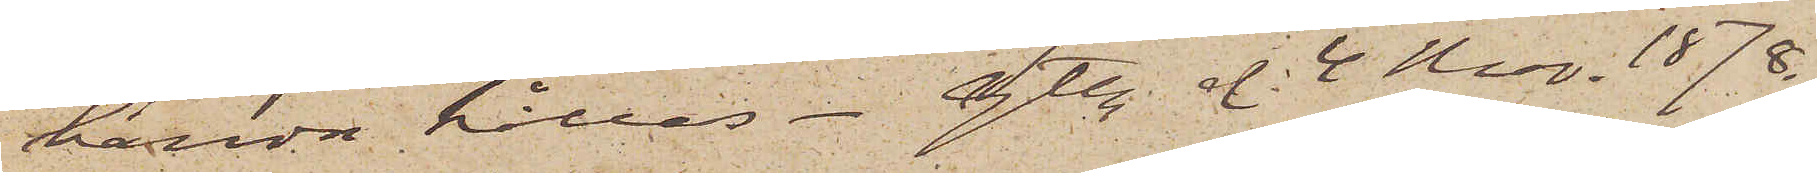handa hållas. Gtbg. d. 4 Nov. 1878.
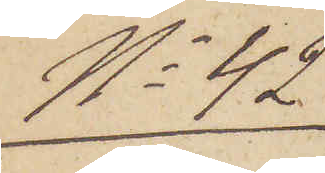No 42
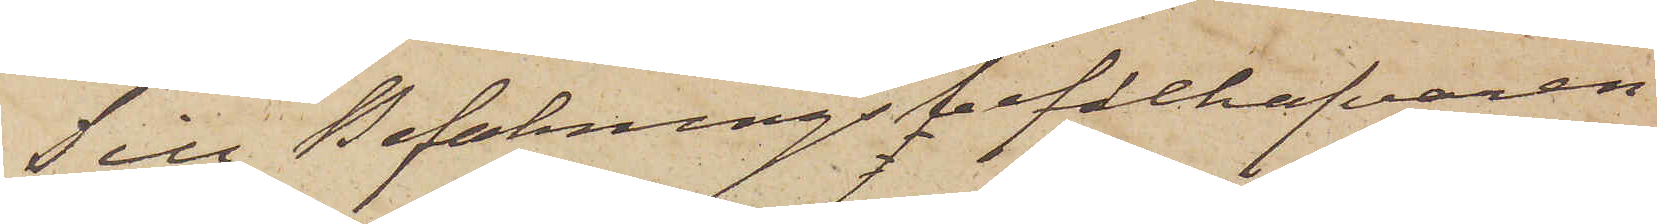Till Befallningsbefälhafvaren
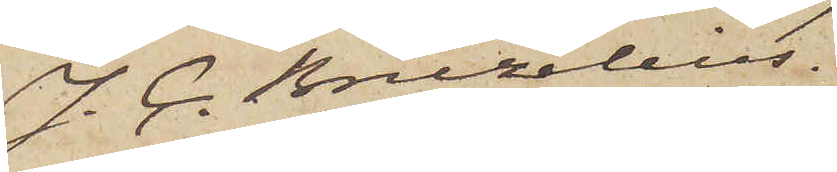J. C. Bruzelius,
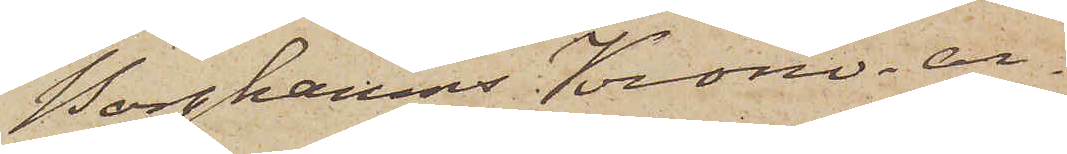Borghamns Krono-ar¬
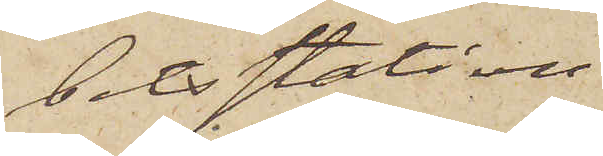betsstation
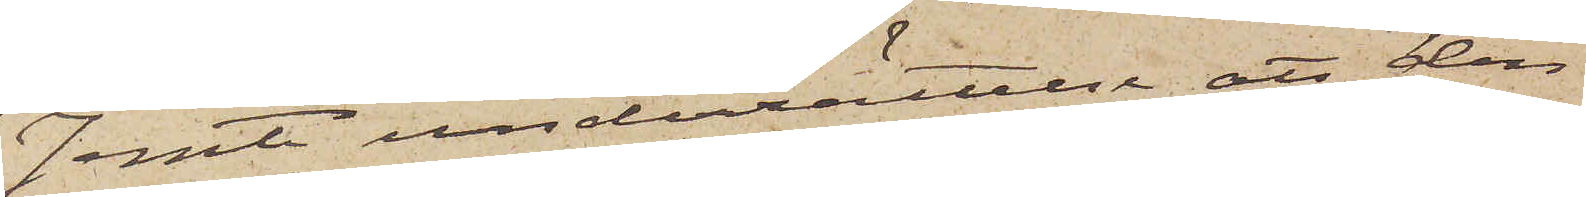Jemte underrättelse att den
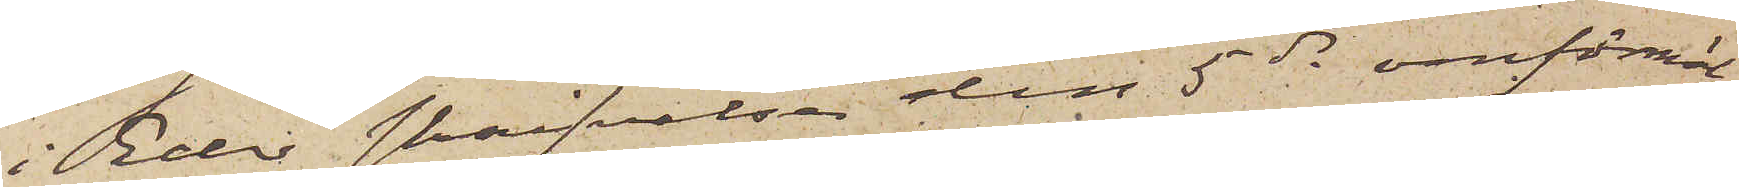i Eder skrifvelse den 5 ds omförmäl¬
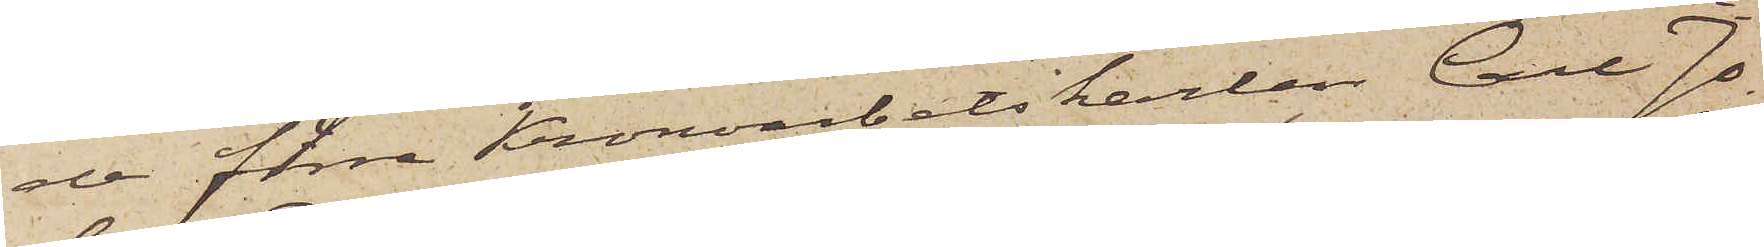de förre Kronoarbetskarlen Carl Jo¬
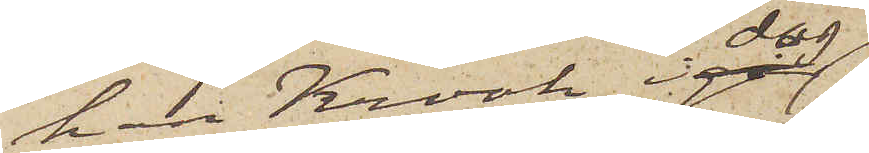han Krook idag
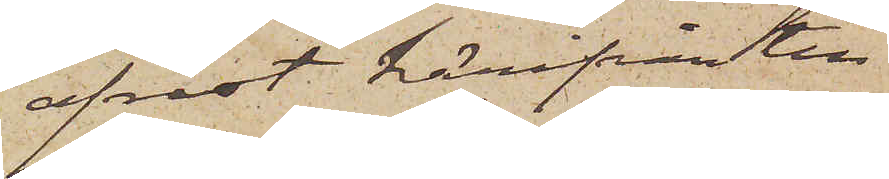afrest härifrån till
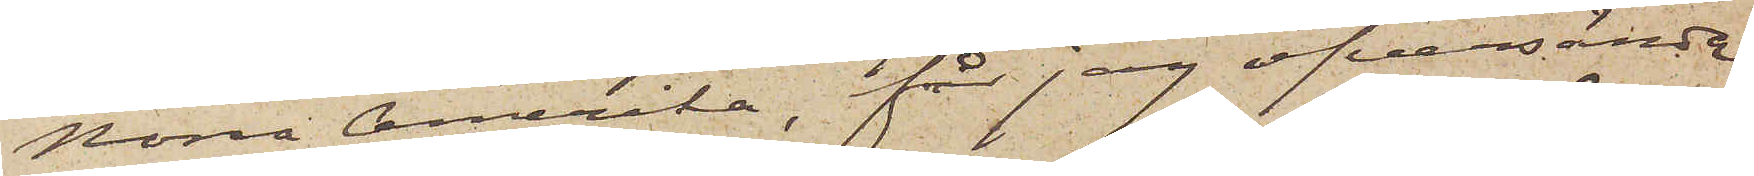Norra Amerika, får jag öfversända
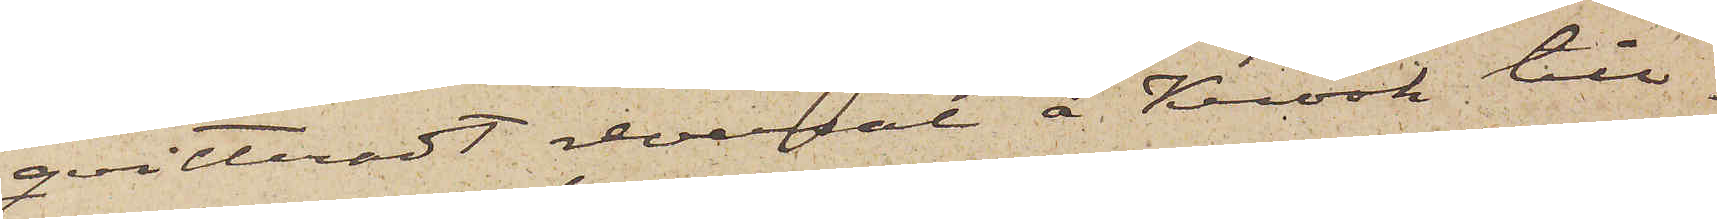qvitteradt reversal å Krook till¬
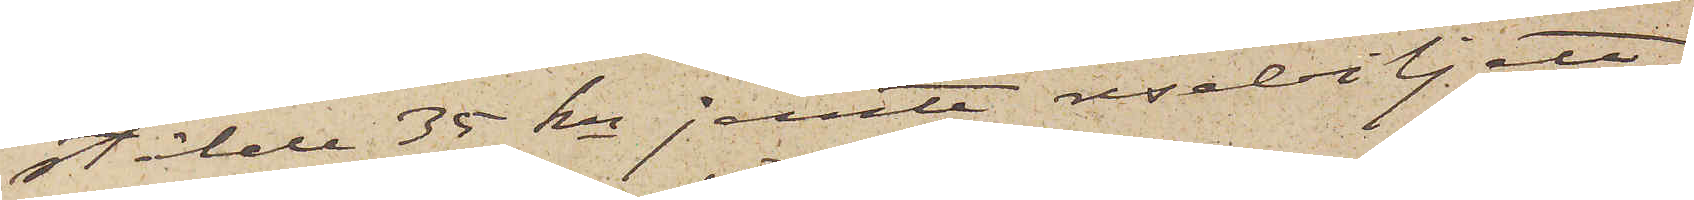stälde 35 kr jemte resebiljett.
